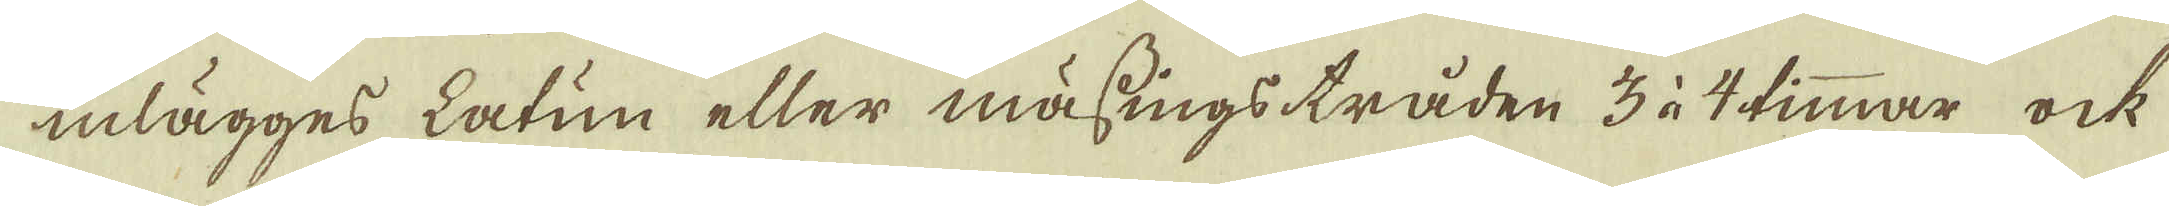inlägges Latun eller mässings tråden 3 à 4 timmar ock
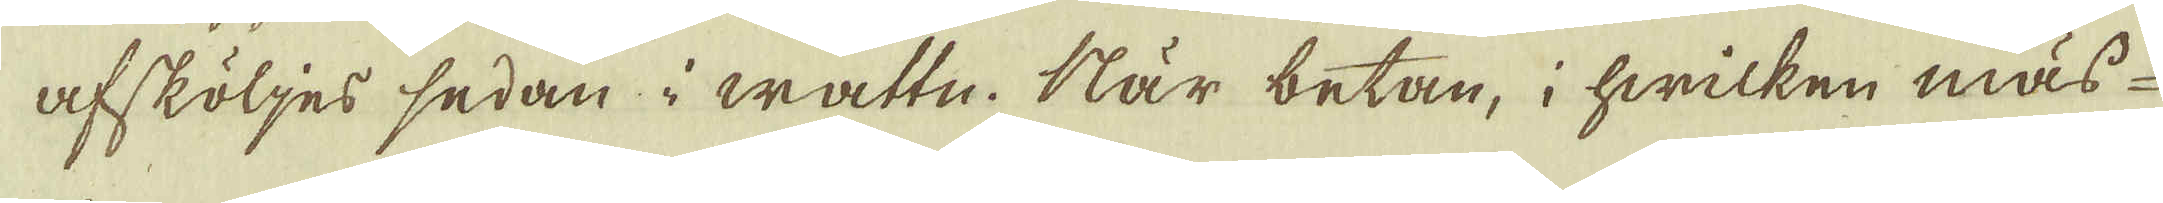afsköljes sedan i wattn. När betan, i hwilken mäs-
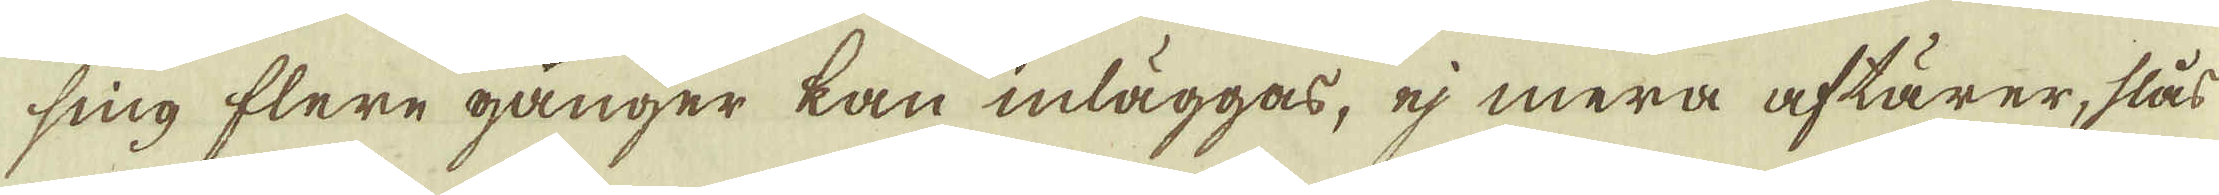sing flere gånger kan inläggas, ej mera aftärer, slås
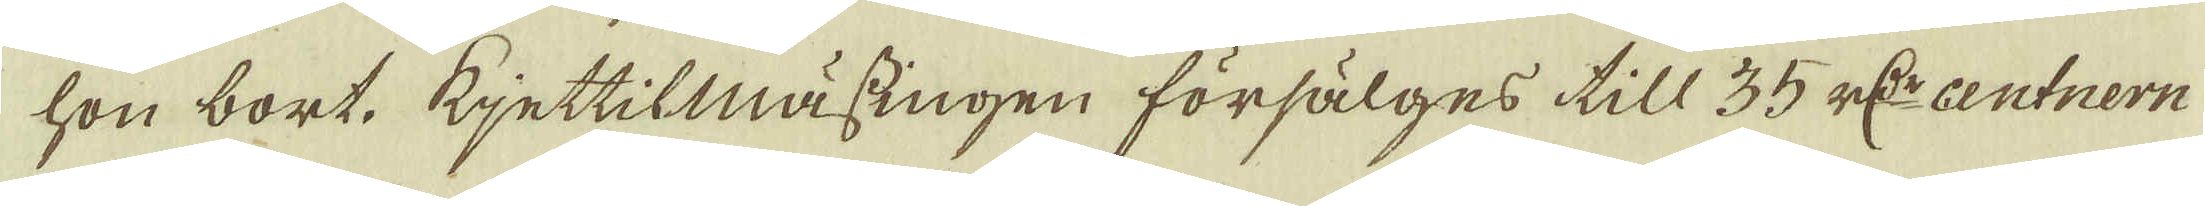hon bort, Kjettilmässingen försälges till 35 r:Dr centnern
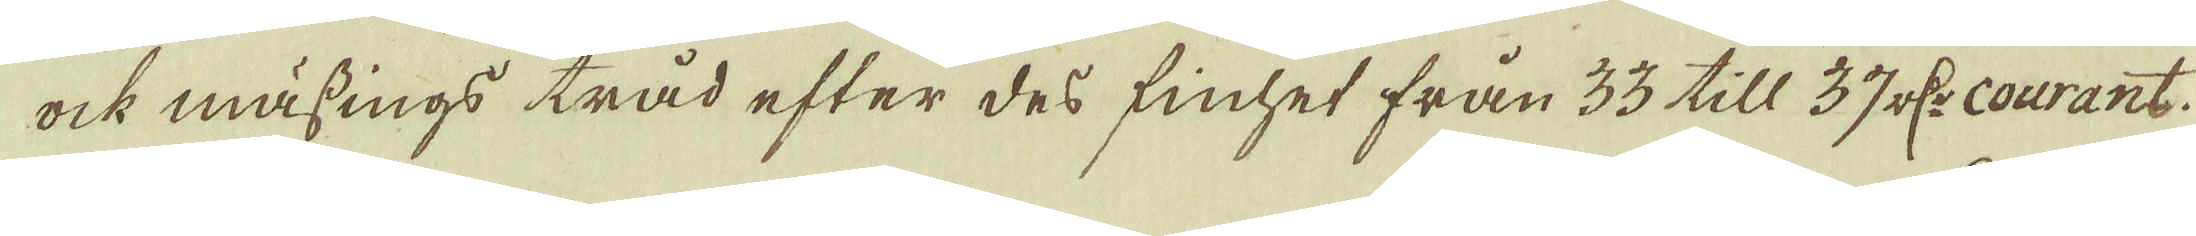ock mässings tråd efter des finhet från 33 till 37 r:Dr courant
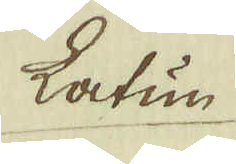Latun
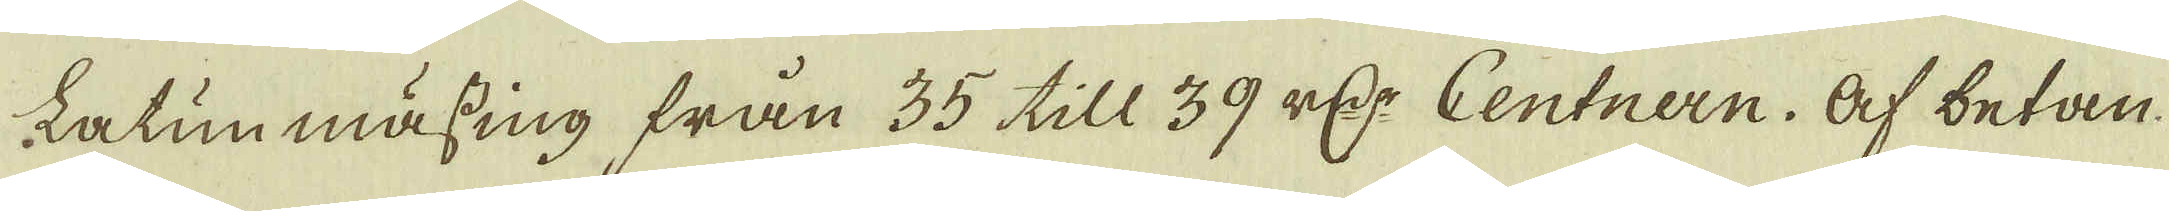Latun mässing från 35 till 39 r:Dr Centnern. Af betan
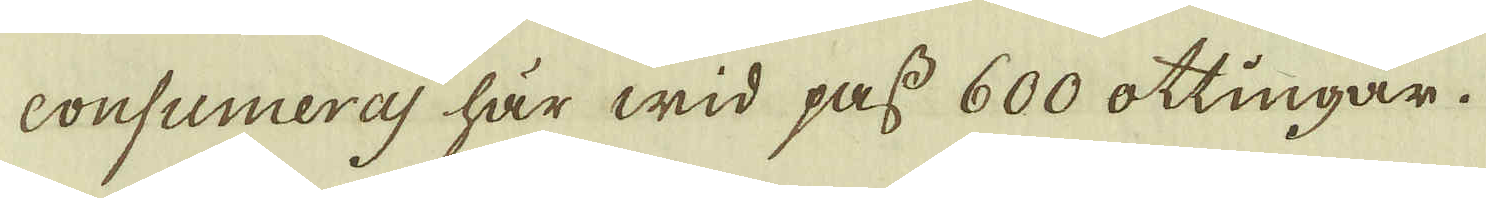consumeras här wid pass 600 ottingar.
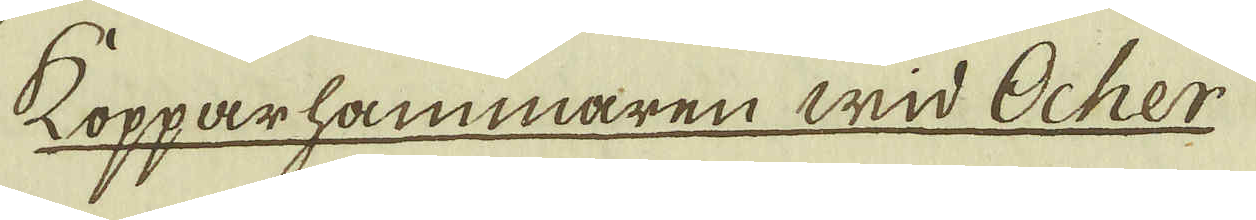Kopparhammaren wid Ocher
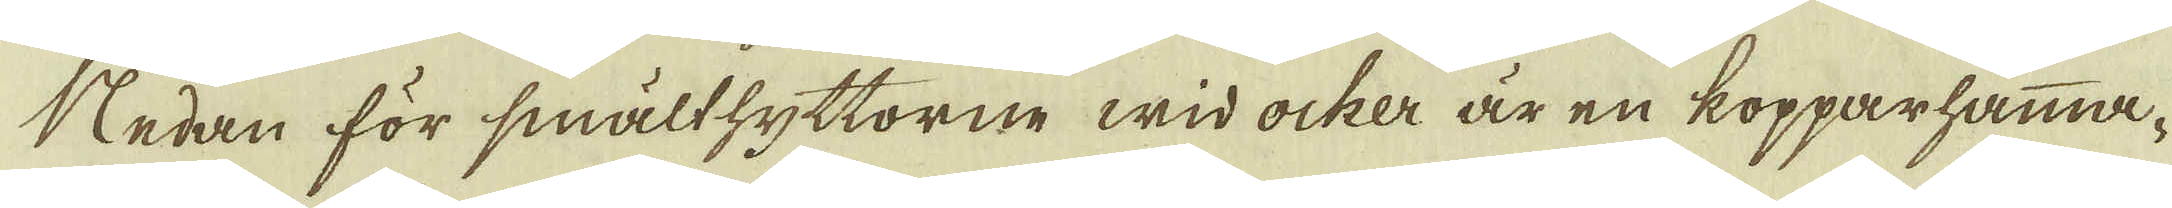Nedan för smälthyttorne wid ocher är en kopparhamma-
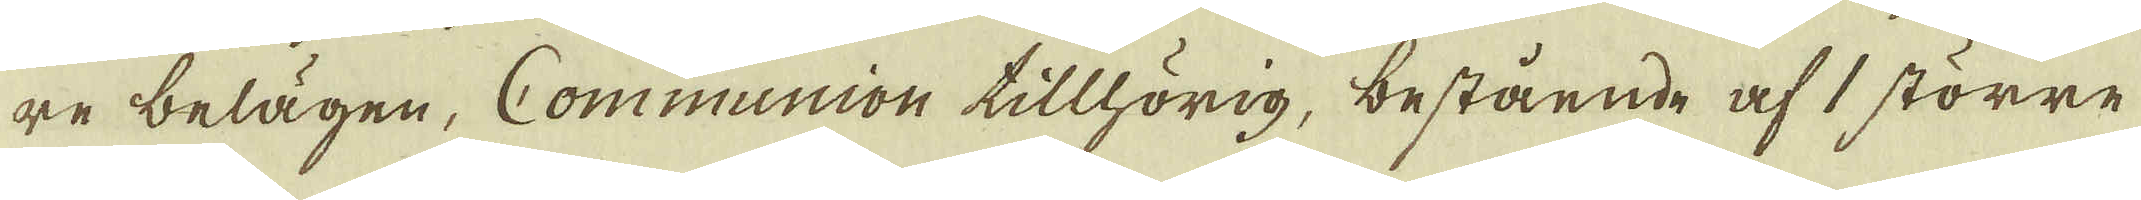re belägen, Communion tillhörig, bestående af 1 större
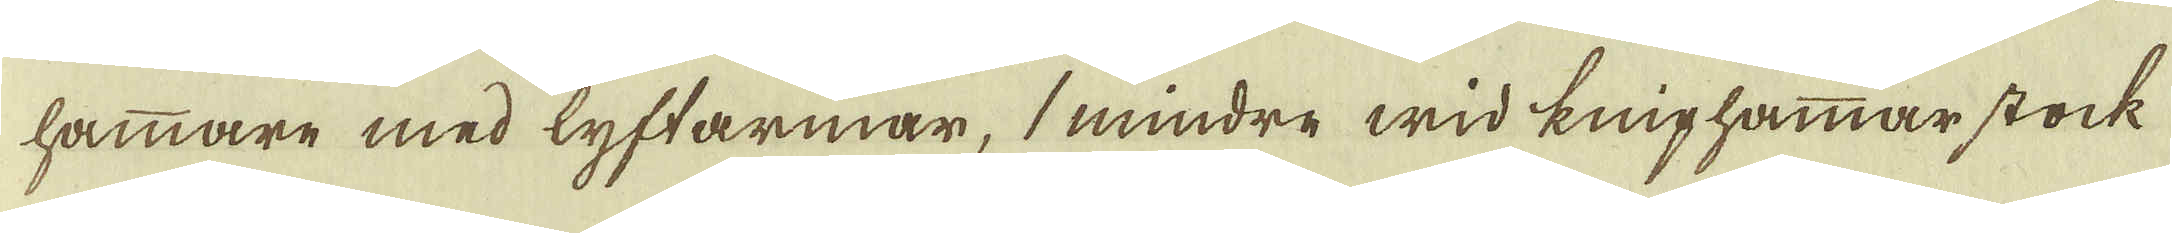hammare med lyftarmar, 1 mindre wid Kniphammar stock
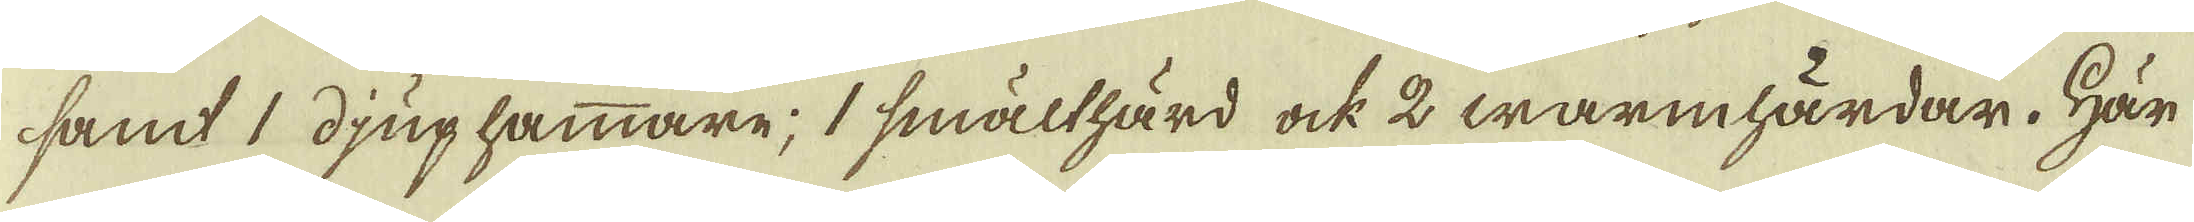samt djup hammare; smälthärd ock 2 warmhärdar. Här
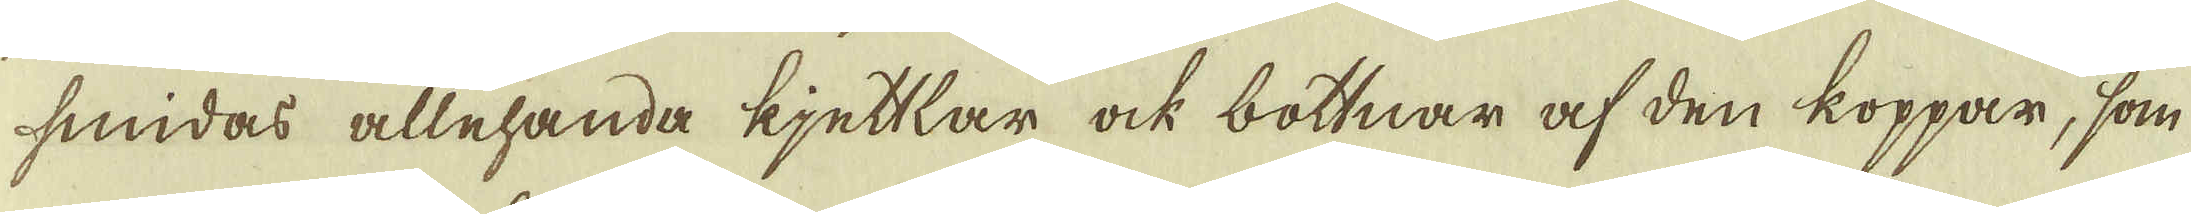smidas allehanda kjettlar ock bottnar af den koppar, som
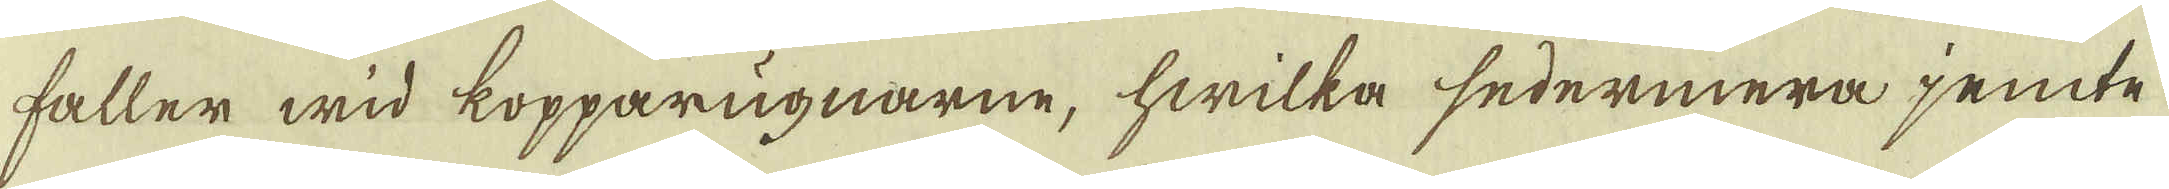faller wid kopparugnarne, hwilka sedermera jemte
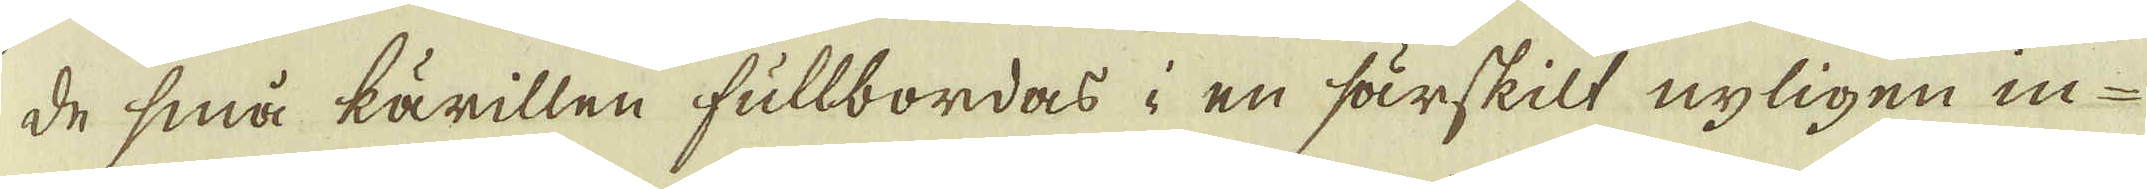de små kärillen fullbordas, en särskilt nyligen in-
